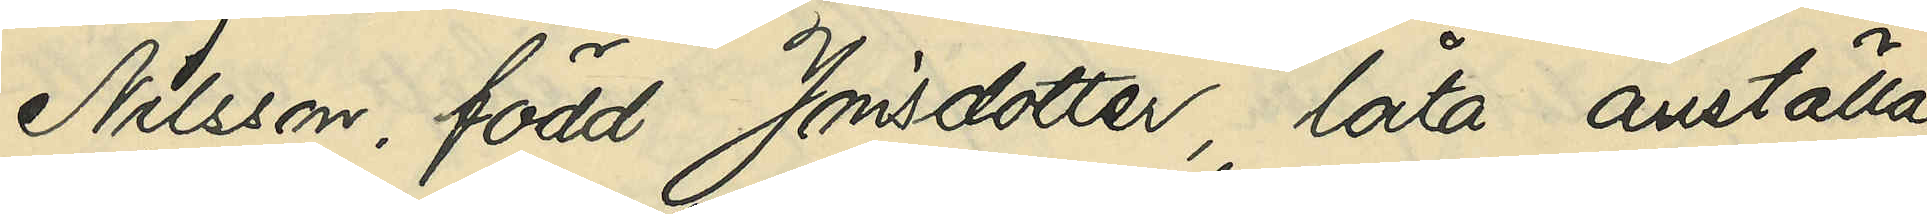Nilsson, född Jonsdotter, låta anställa
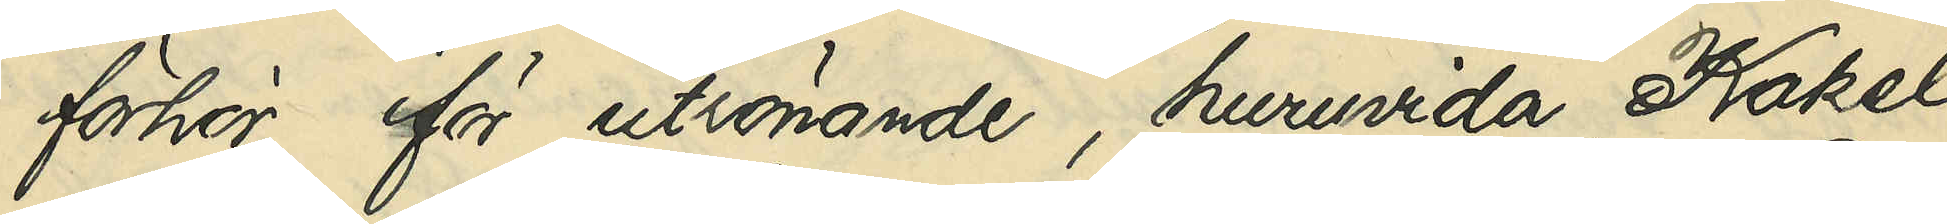förhör för utrönande, huruvida Kakel¬
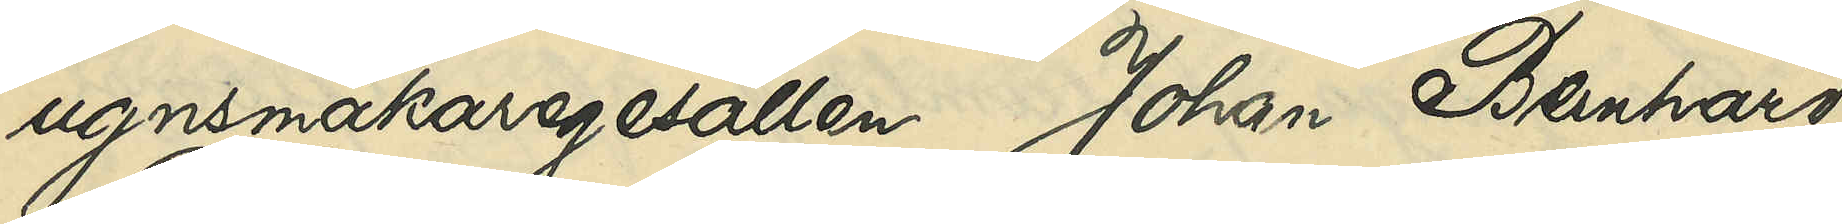ugnsmakaregesällen Johan Bernhard
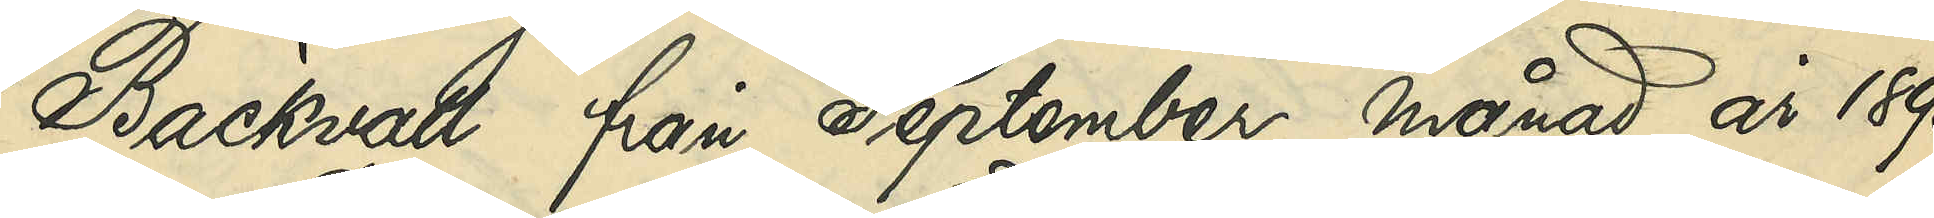Bäckvall från September månad 1890
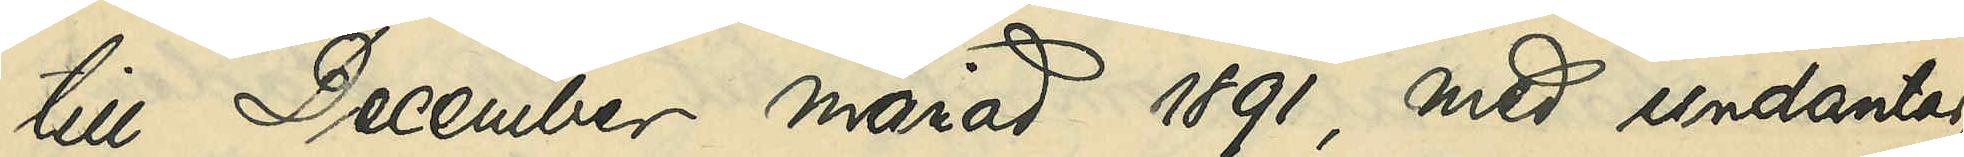till December månad 1891, med undantag
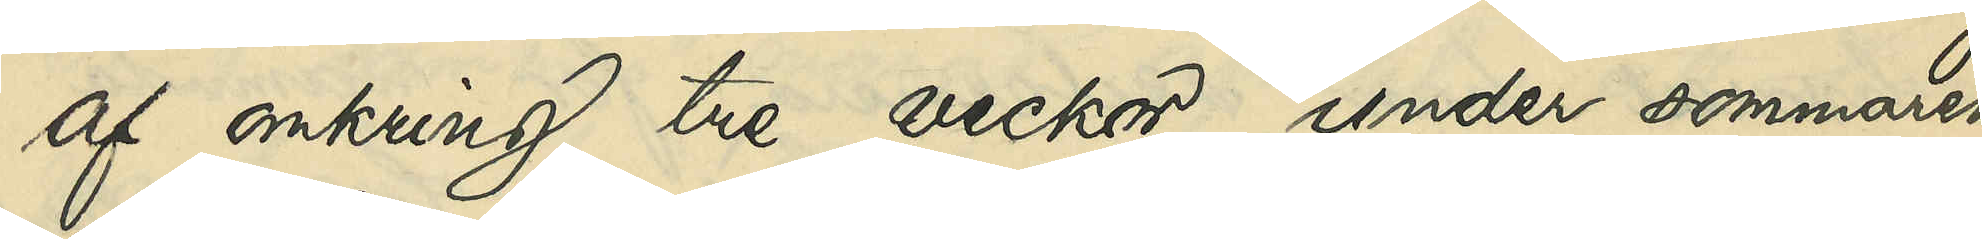af omkring tre veckor, under sommaren
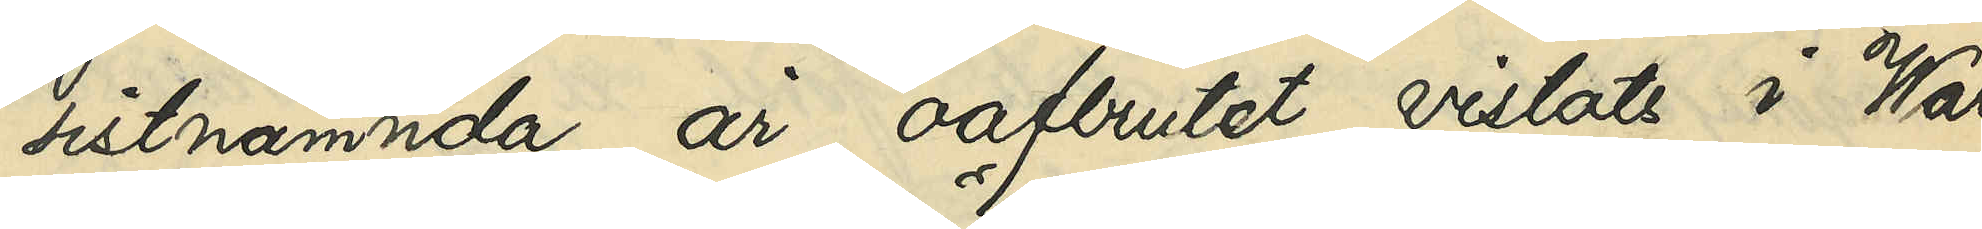sistnämnda år, oafbrutet vistats i War¬
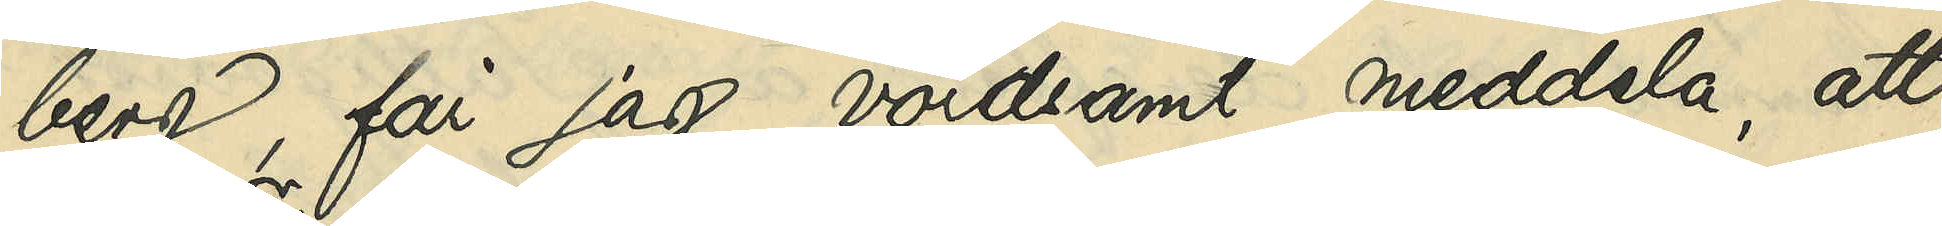berg, får jag vördsamt meddela, att
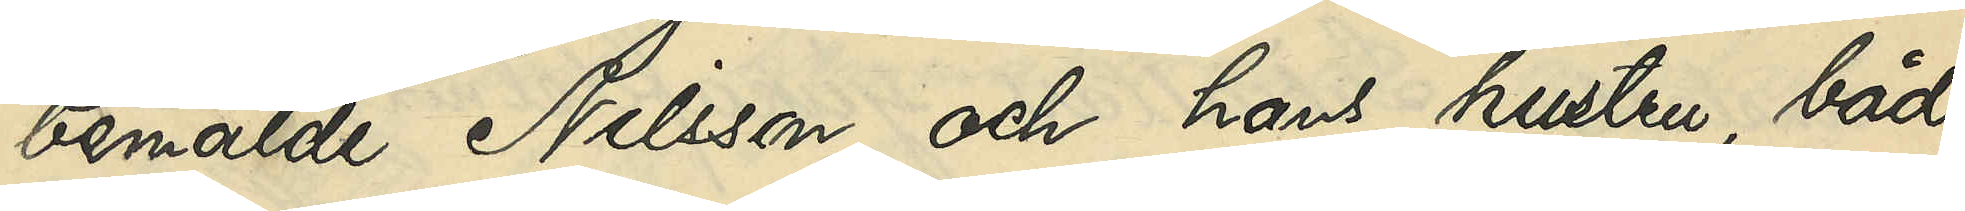bemälde Nilsson och hans hustru, båda
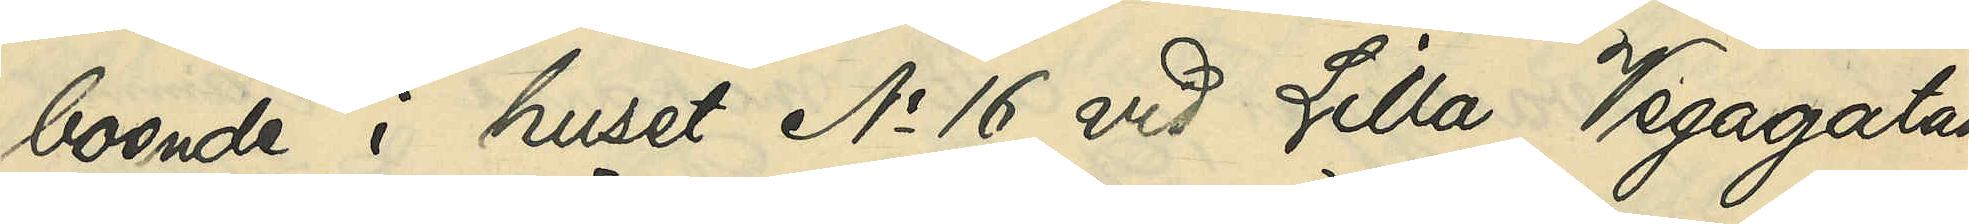boende i huset No 16 vid Lilla Vegagatan
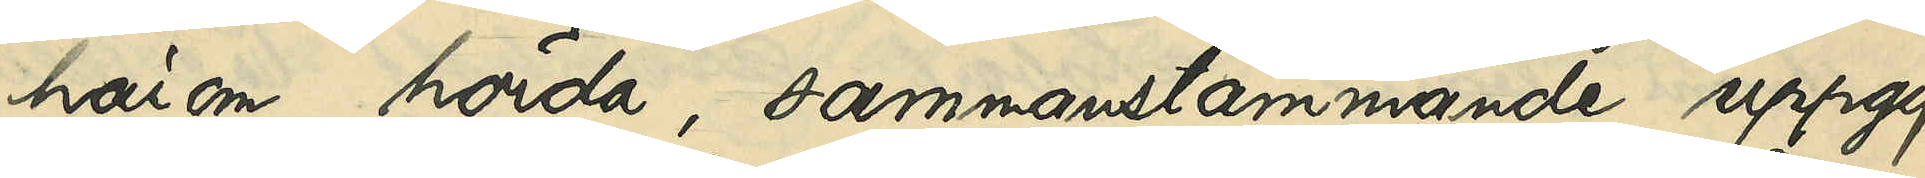härom hörda, sammanstämmande uppgif¬
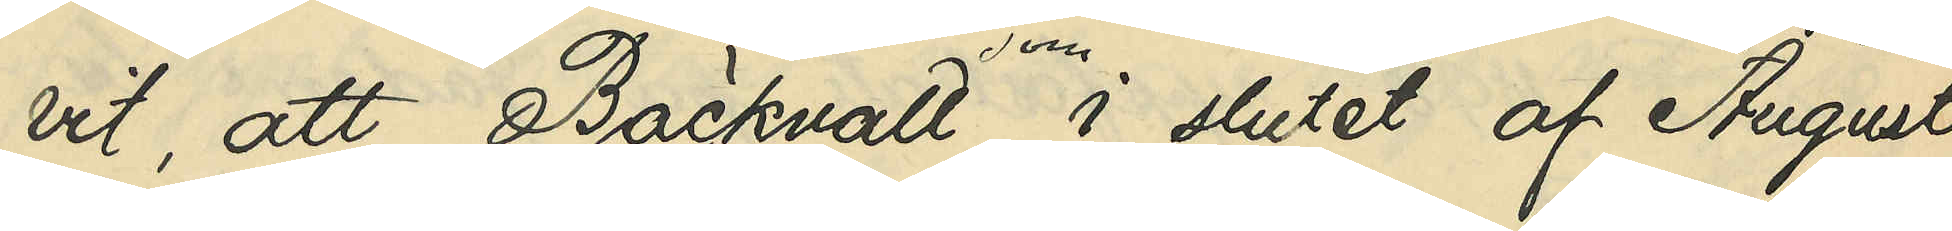vit, att Bäckvall, som i slutet af Augusti
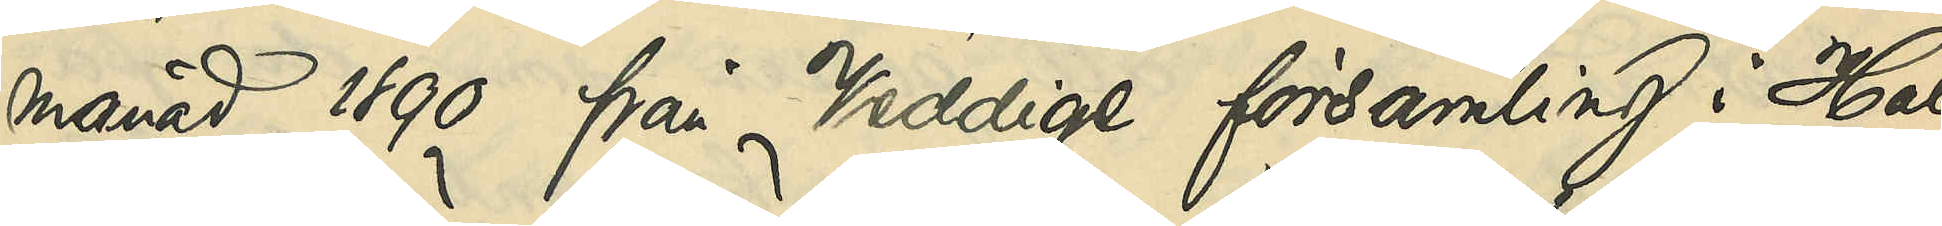månad 1890, från Veddige församling i Hal¬
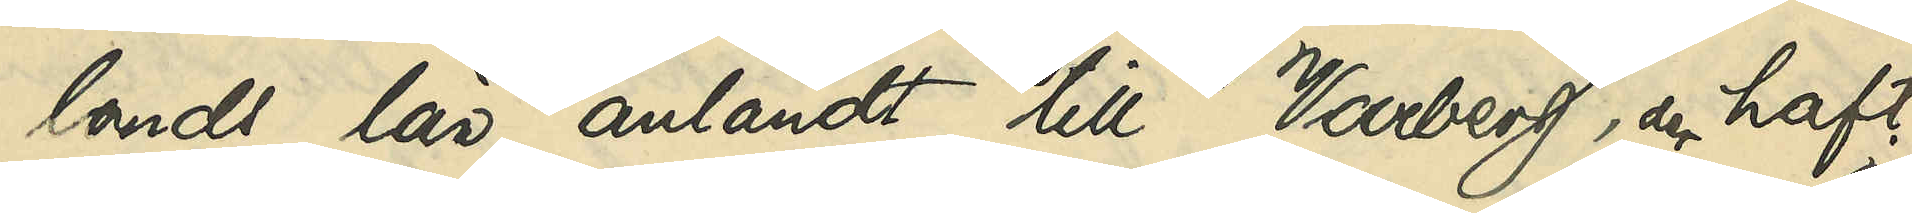lands län anländt till Varberg, der haft
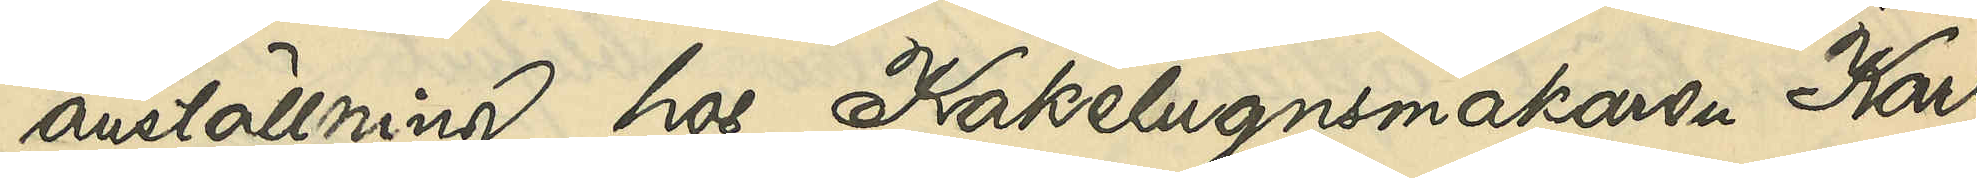anställning hos Kakelugnsmakaren Karl
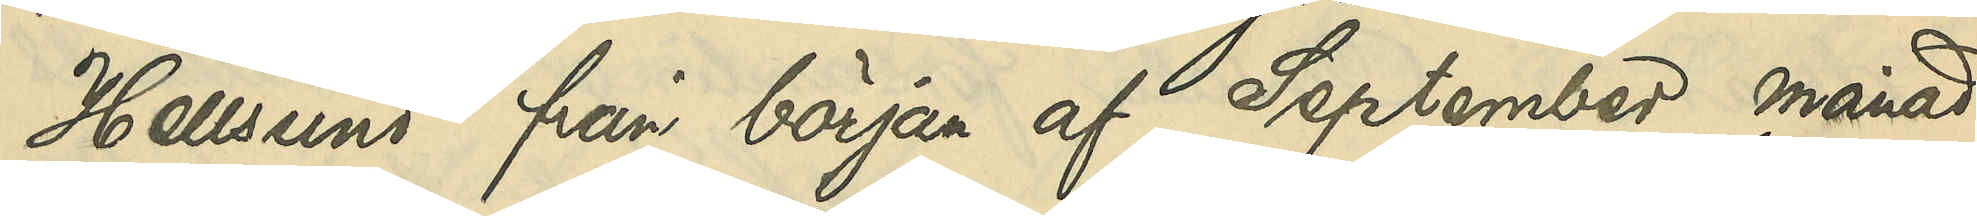Hellsund från början af September månad
